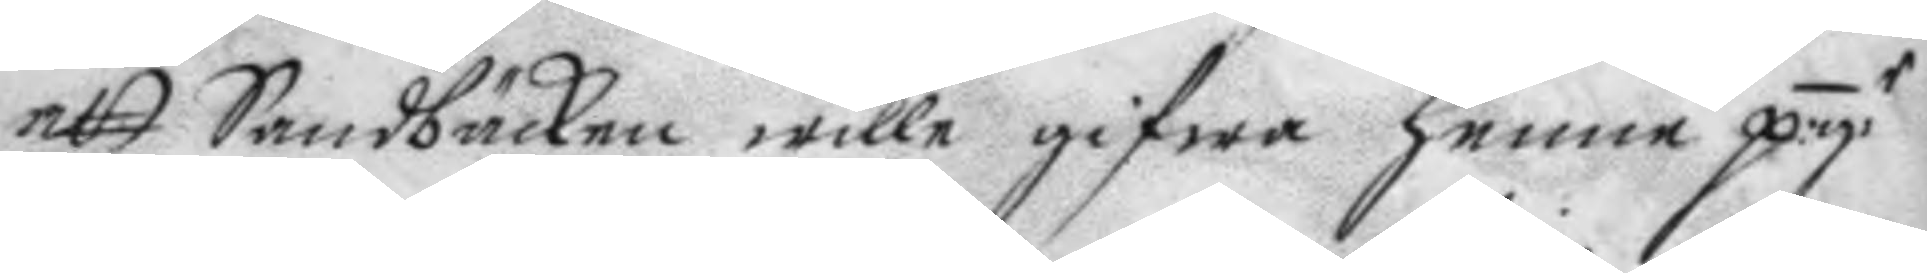att Sandbäcken wille gifwa henne p:g:r
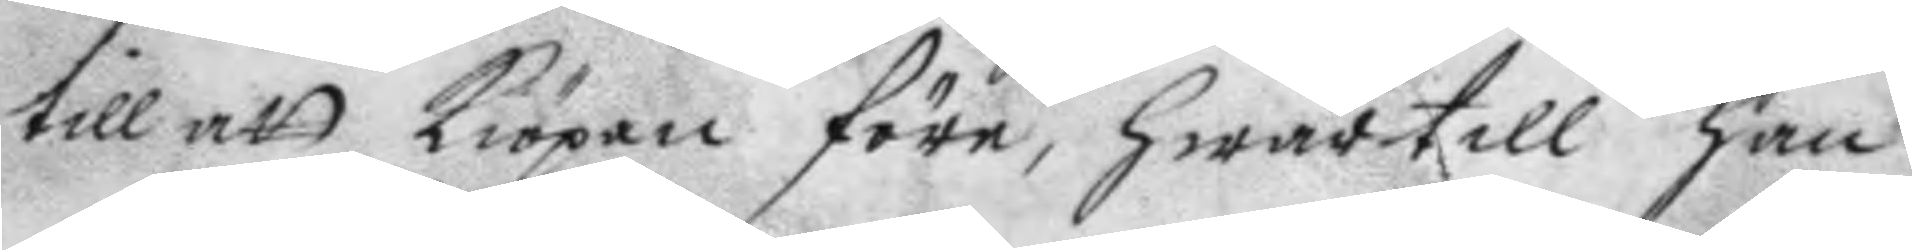till att kiöpan före, hwartill han
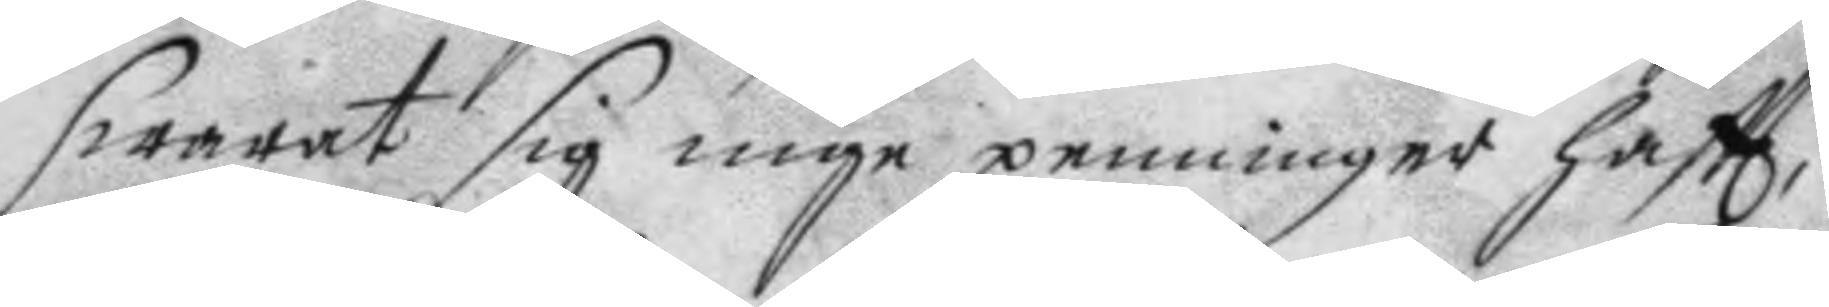swarat sig inge penninger haftt,
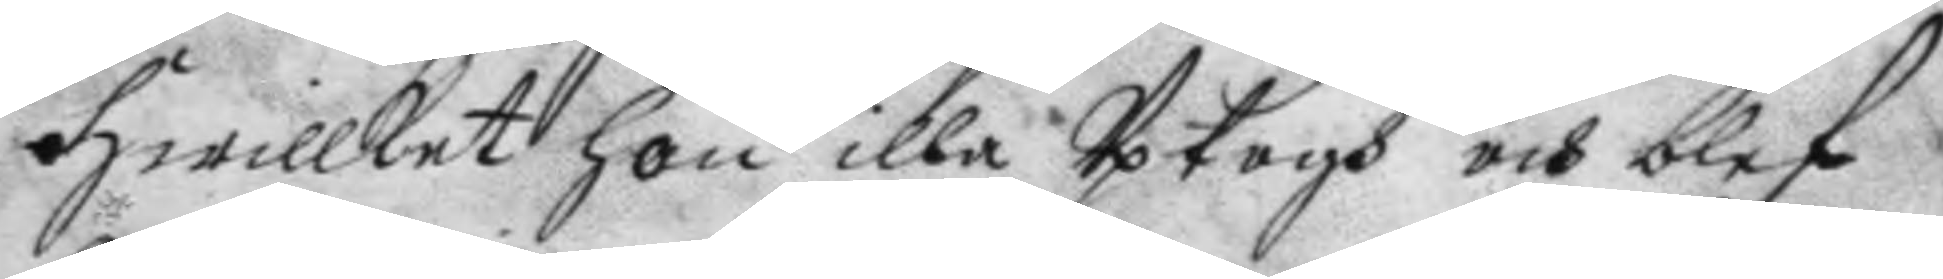hwillket hon illa Uptogh och blef
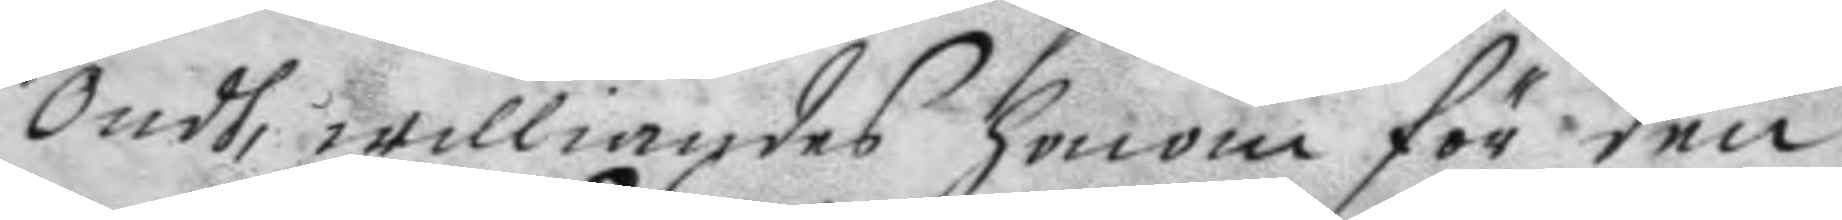ondh, williandes honom för den
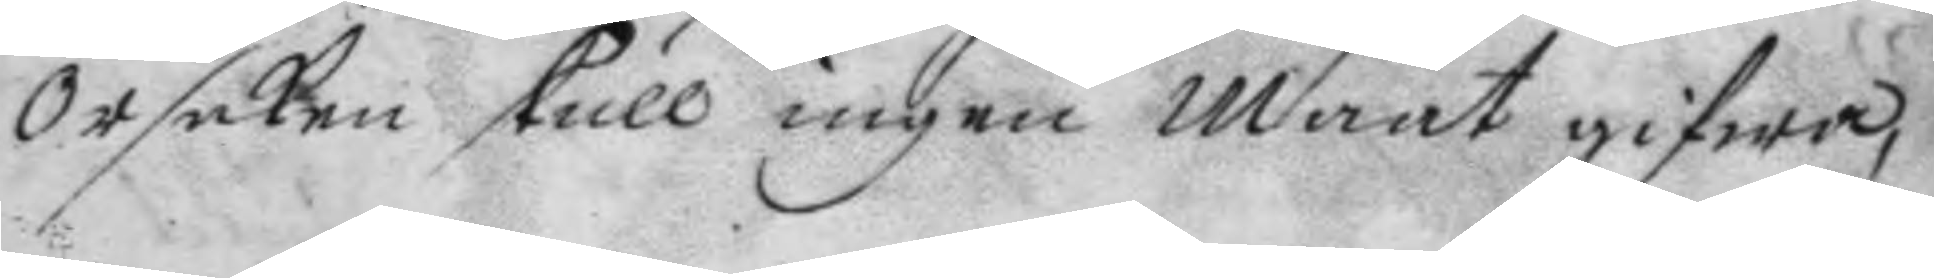orsaken skull ingen maat gifwa,
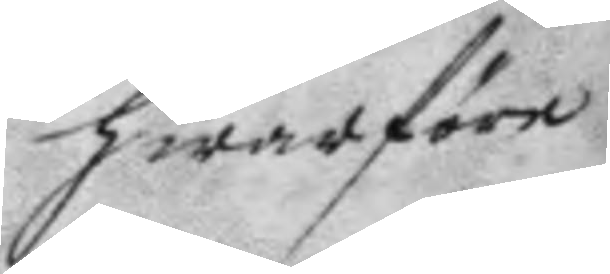hwarföre
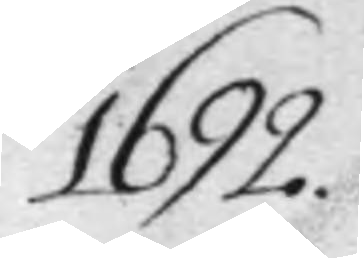1692
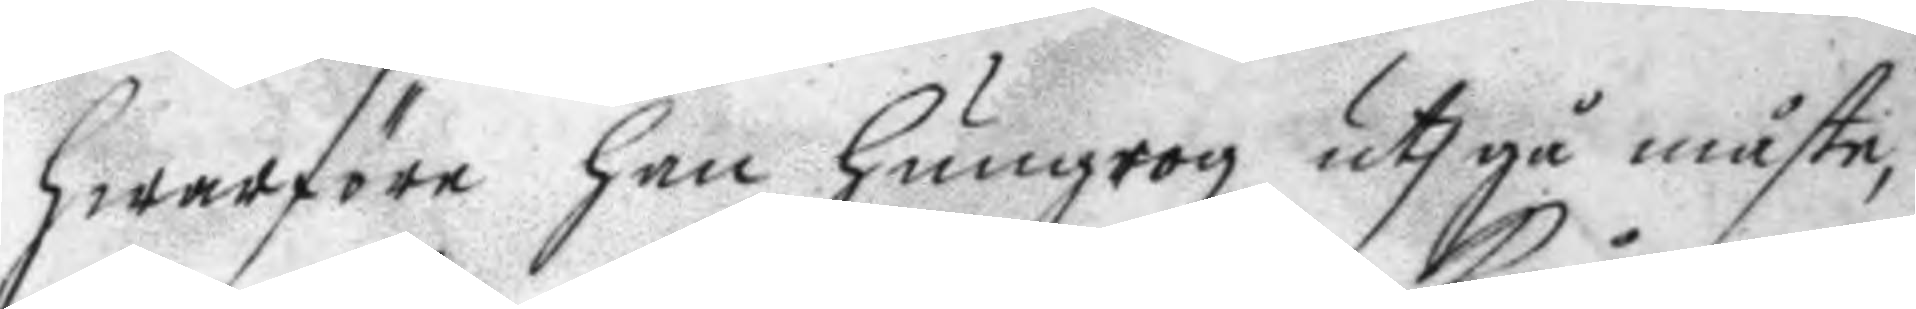hwarföre han hungrog uthgå måste,
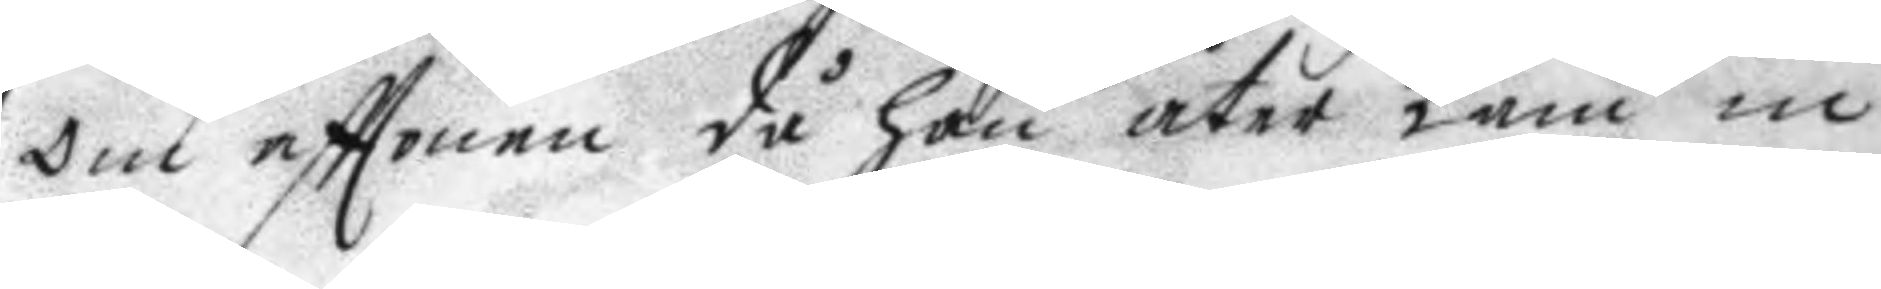om afttonen då han åter kåm in
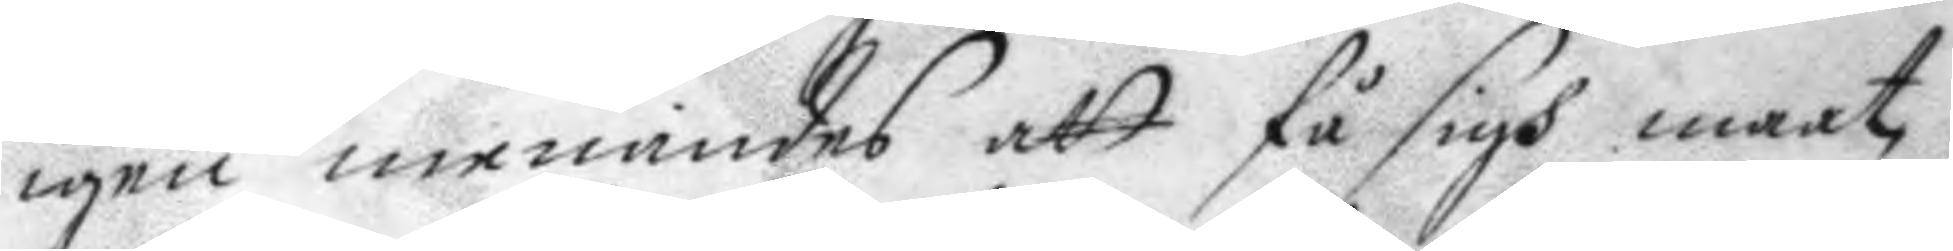igen menandes att få sigh maat
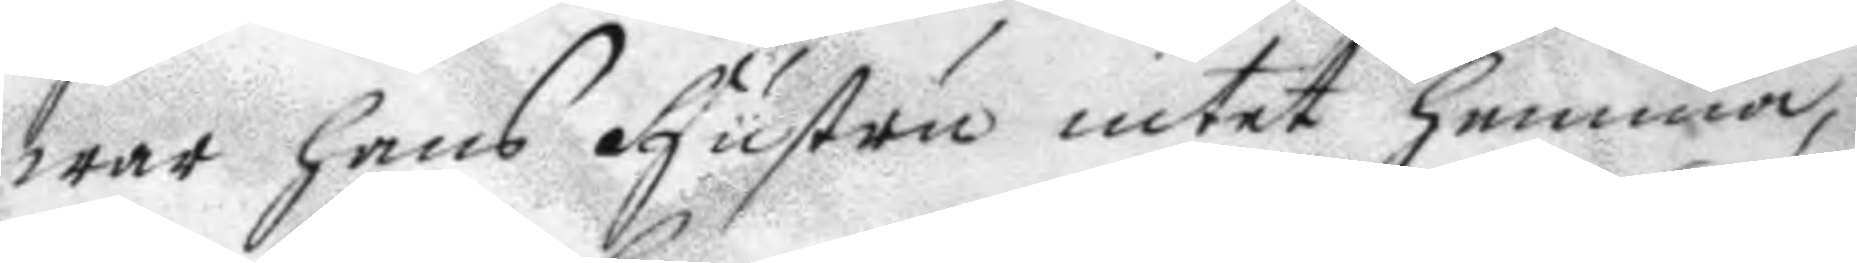war hans hustru intet hemma,
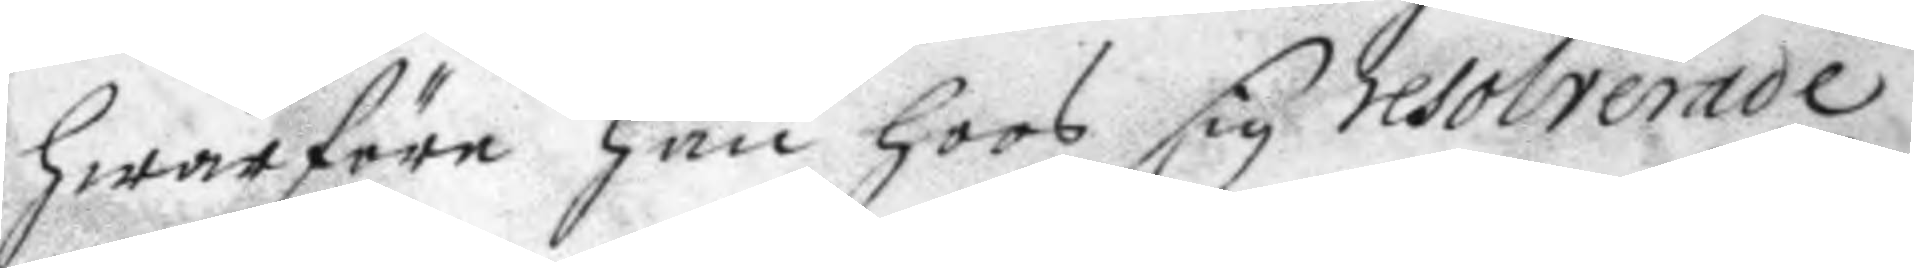hwarföre han hoos sig resolterade
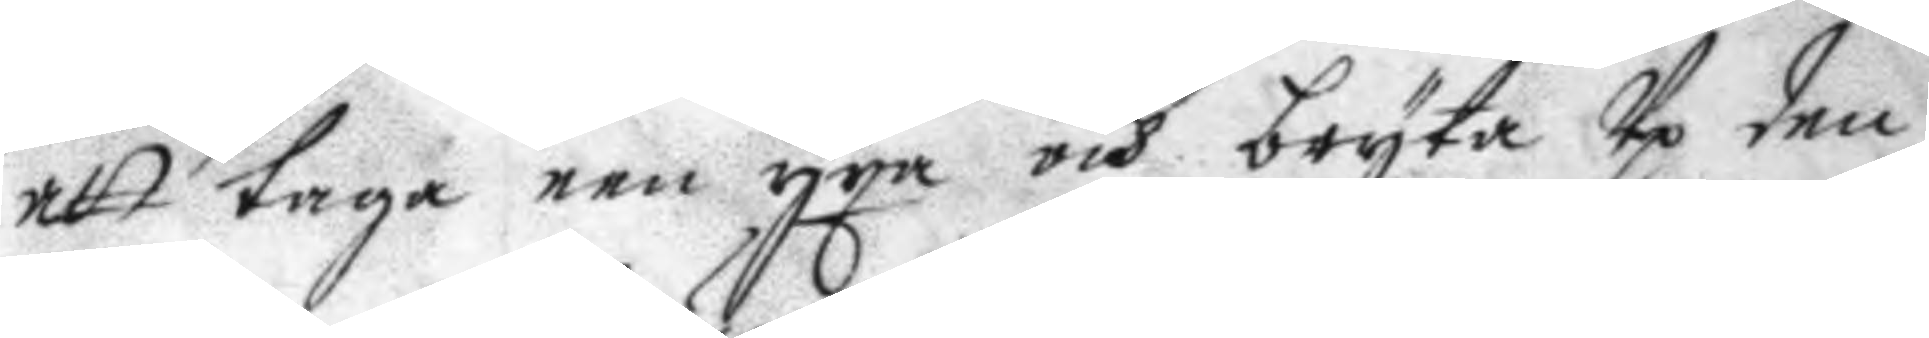att taga een yxa och bryta Up den
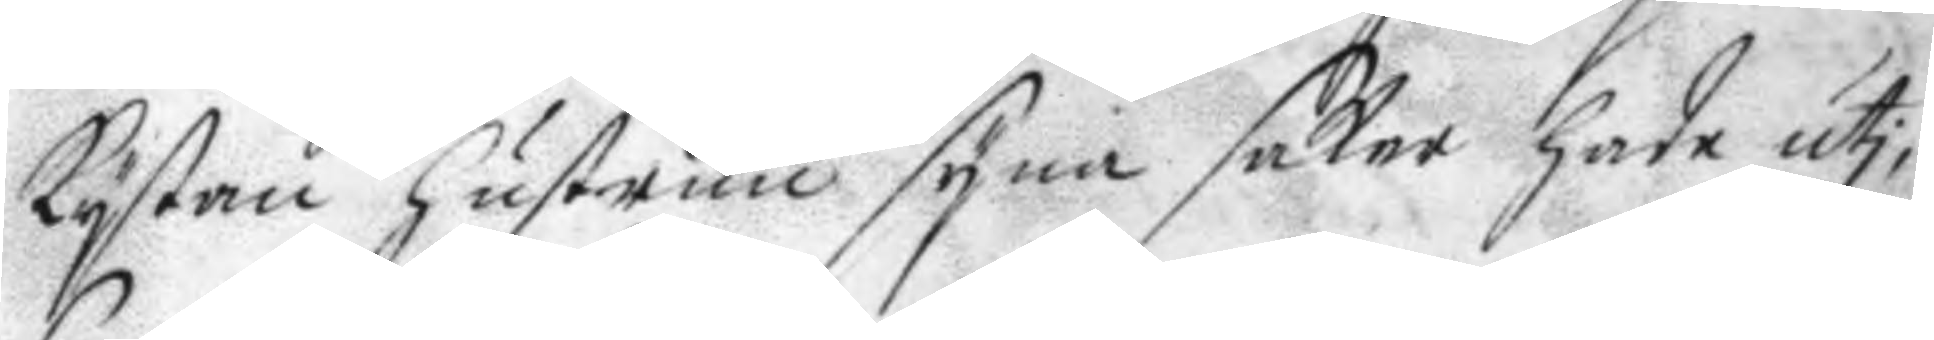kystan hustrun syna saker hade uti
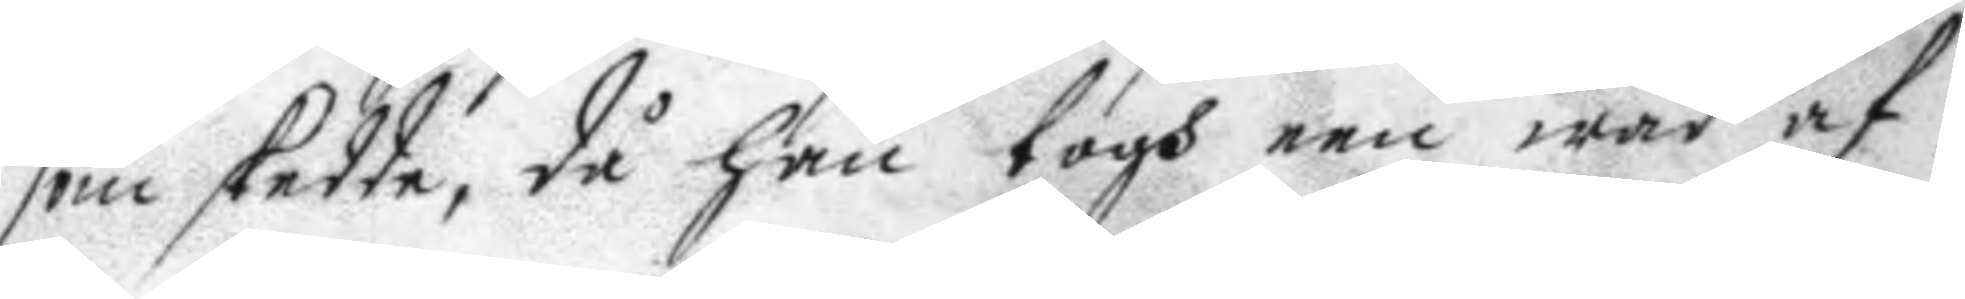som skedde, då han togh een wåd af
